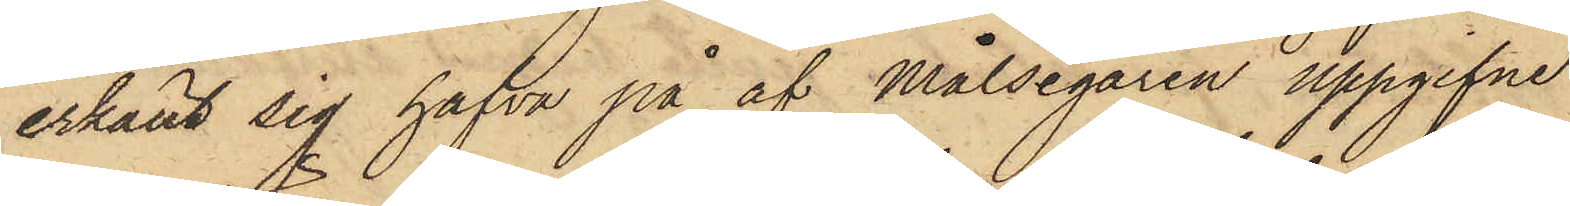erkänt sig hafva på af Målsegaren uppgifne
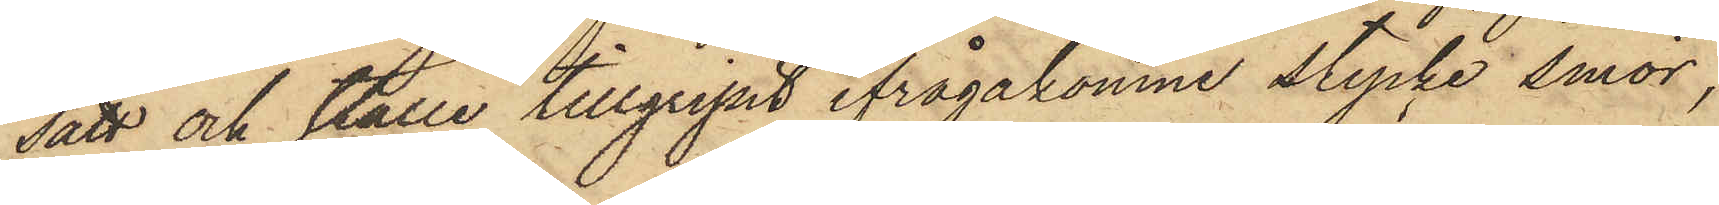sätt och ställe tillgripit ifrågakomne stycke smör,
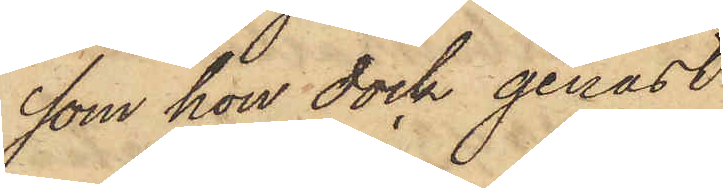som hon dock genast
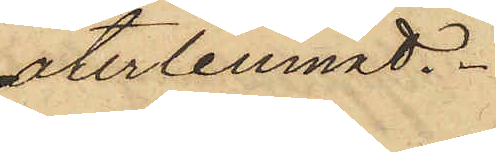återlemnat.
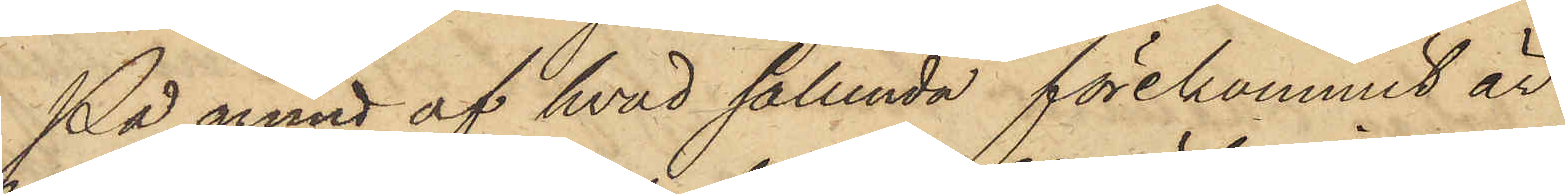På grund af hvad sålunda förekommit är
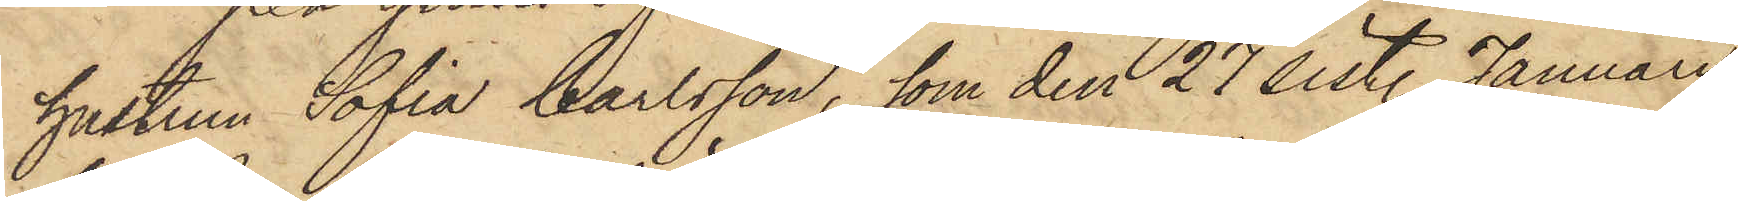hustrun Sofia Carlsson, som den 27 sistl. Januari
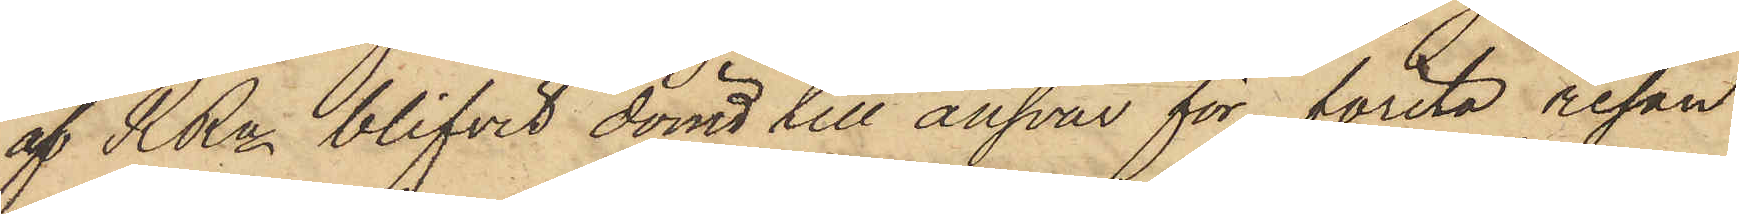af RRn blifvit dömd till ansvar för första resan
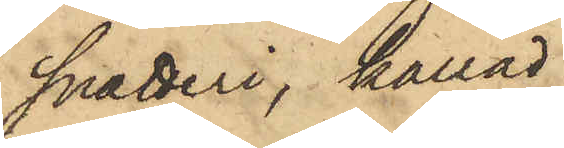snatteri, kallad
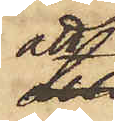att
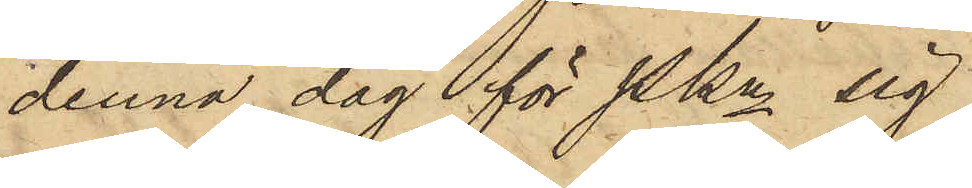denna dag för Pkn sig
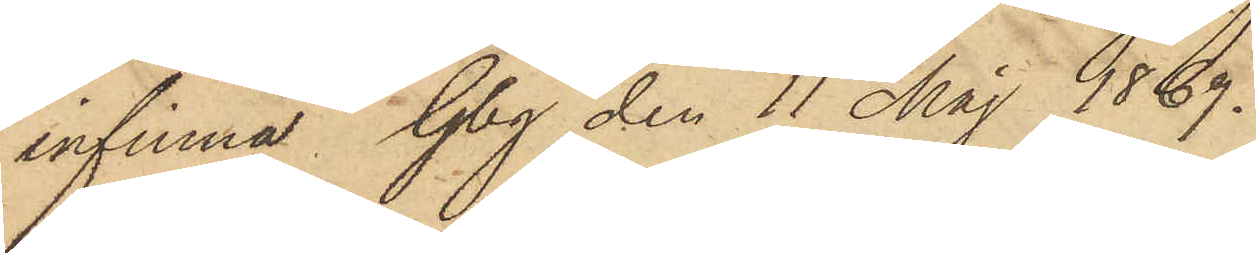infinna. Gbg den 11 Maj 1869.
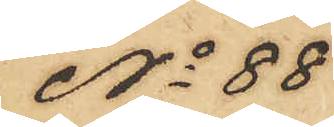No 88
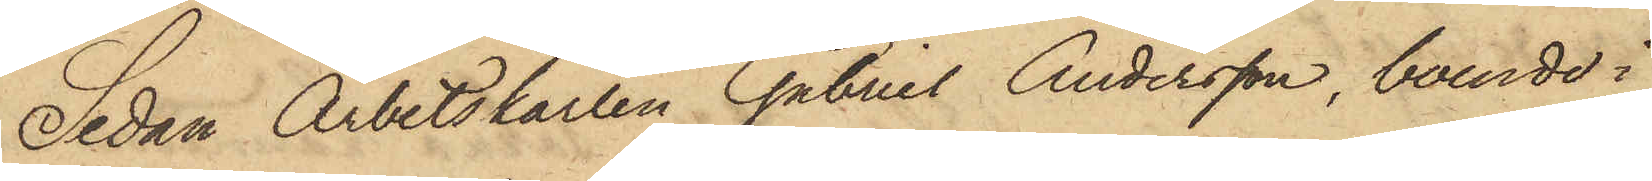Sedan Arbetskarlen Gabriel Andersson, boende i
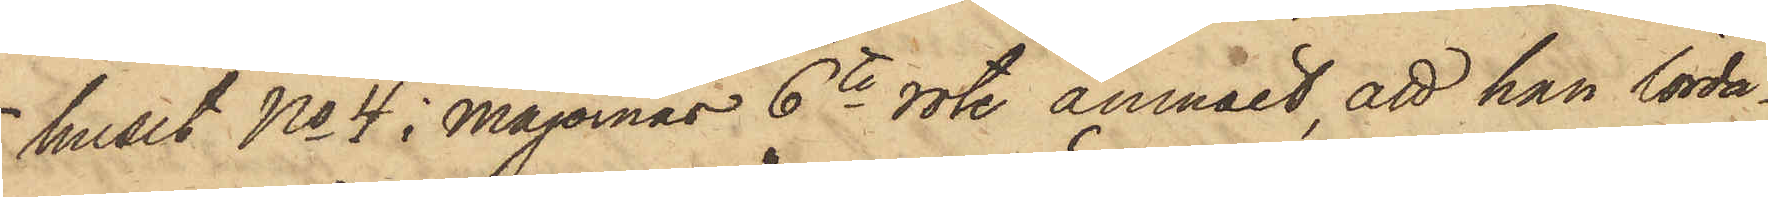huset No 4 i Majornas 6te rote anmält, att han lörda¬
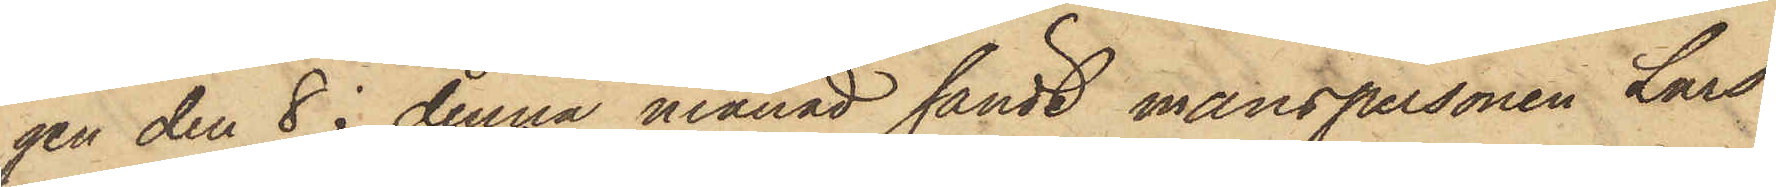gen den 8 i denna månad sändt manspersonen Lars
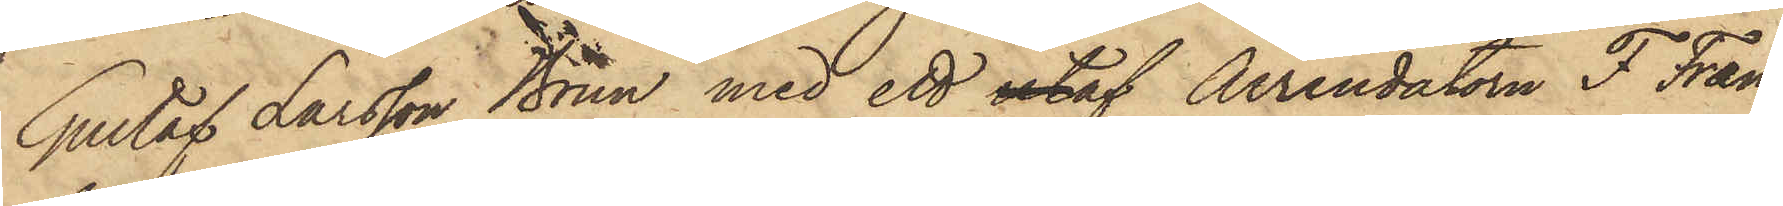Gustaf Larsson Brun med ett utaf Arrendatorn F Fræn¬
